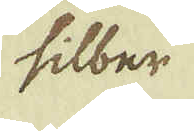silber
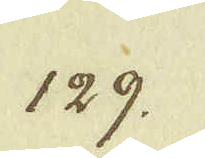129.
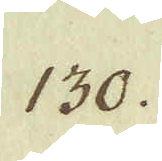130.
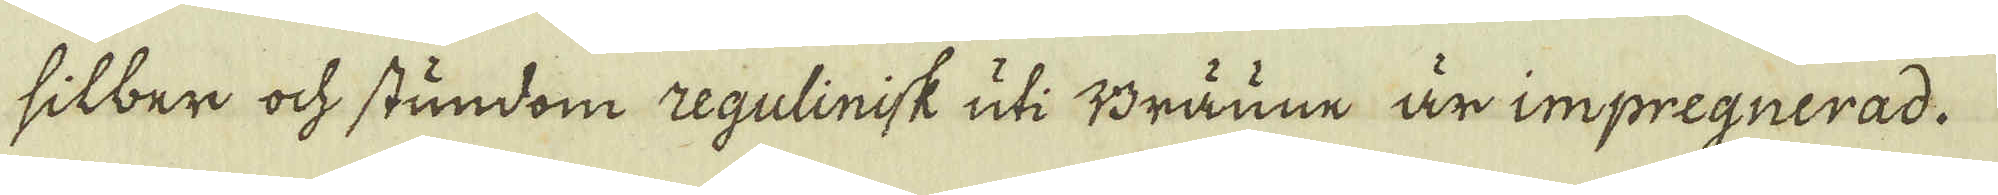silber ock stundom regulinisk uti Bräune är impregnerad.
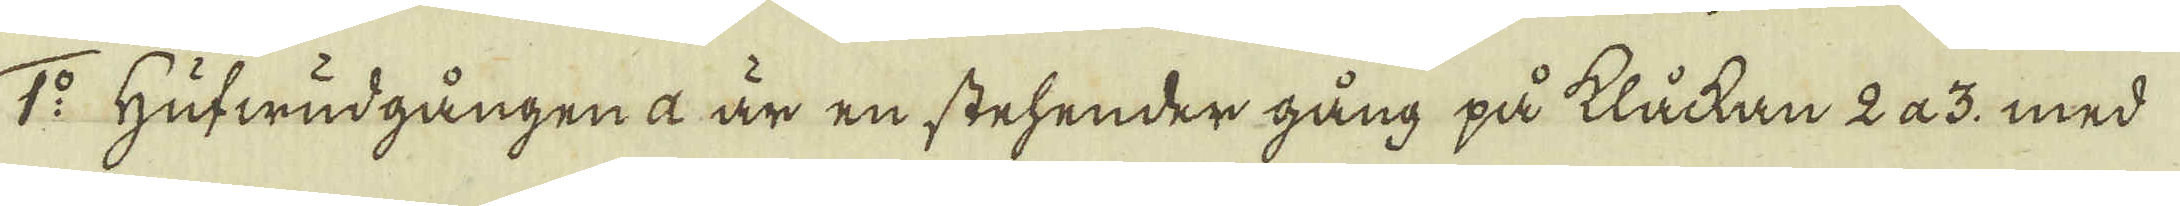1:o Hufwudgången a är en stehender gång på klåckan 2 a 3. med
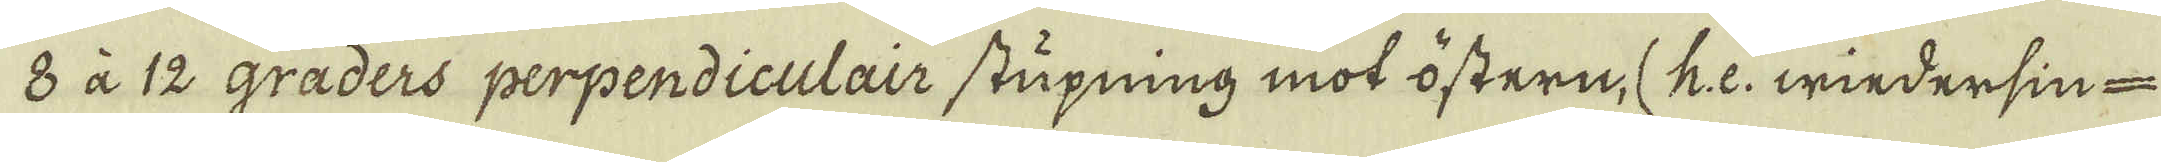8 à 12 graders perpendiculair stupning mot östern, (he: wiedersin-
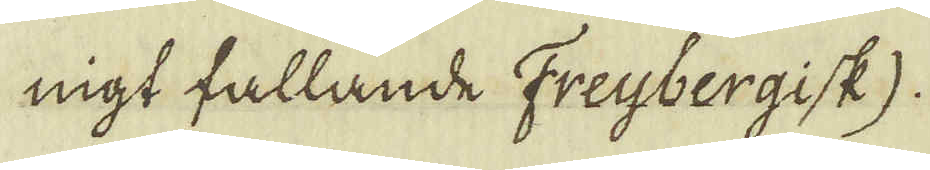nigt fallande Freyjbergisk).
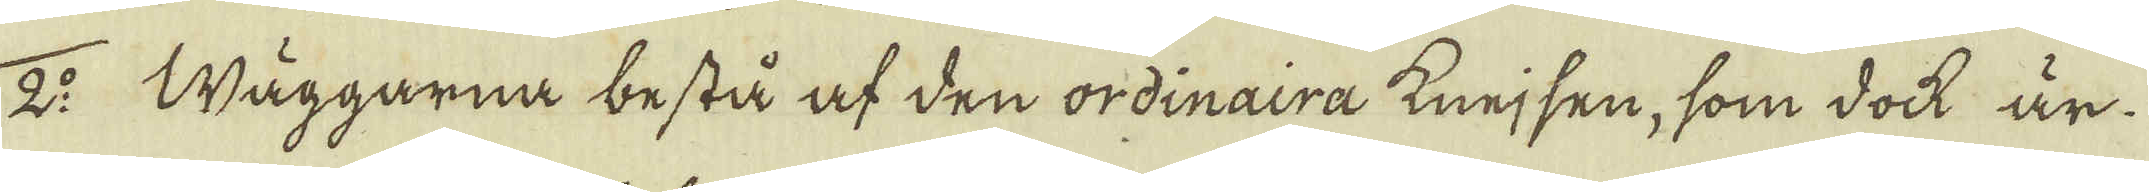2:o Wäggarna bestå af den ordinaira knejsen, som dock är
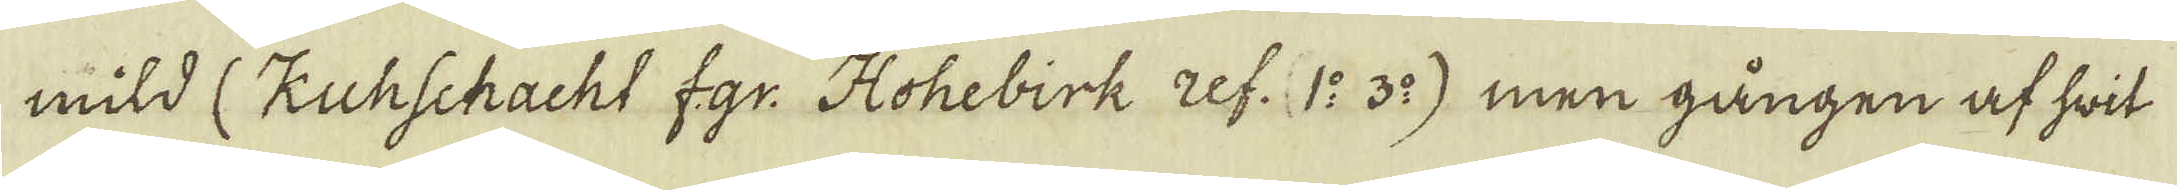mild (Kuhschacht f.gr. Hohebirk ref. 1:o 3:o) men gången af hwit
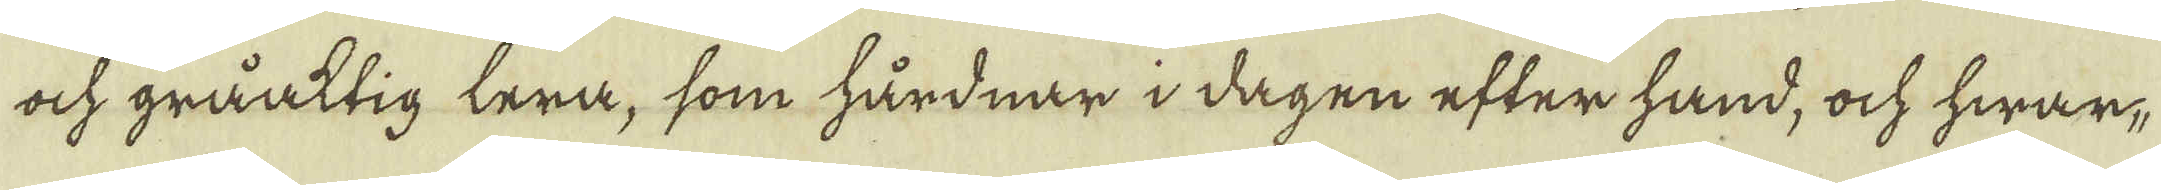ock gråaktig lera, som hårdnar i dagen efter hand, ock hwar-
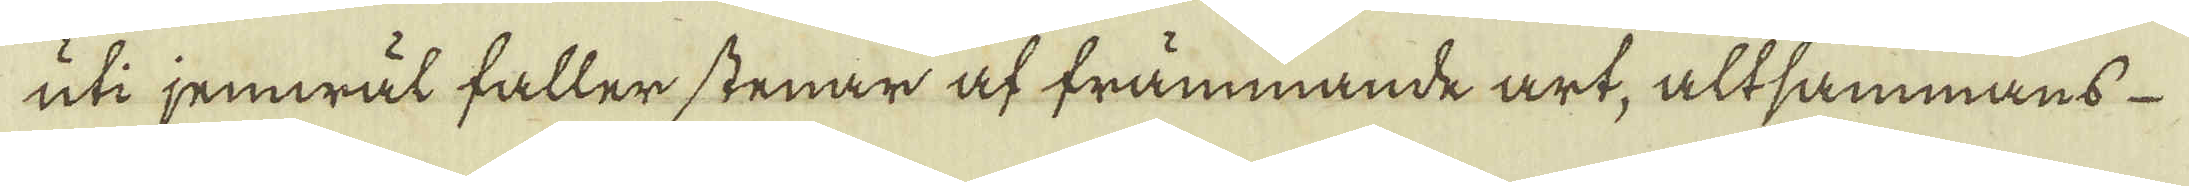uti jemwäl faller stenar af främmande art, altsammans
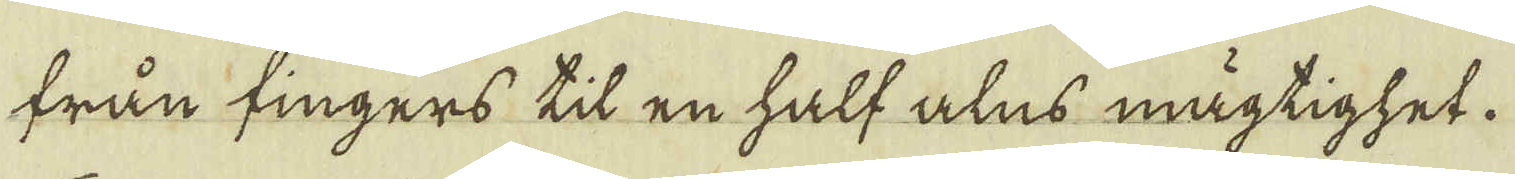från fingers til en half alns mägtighet.
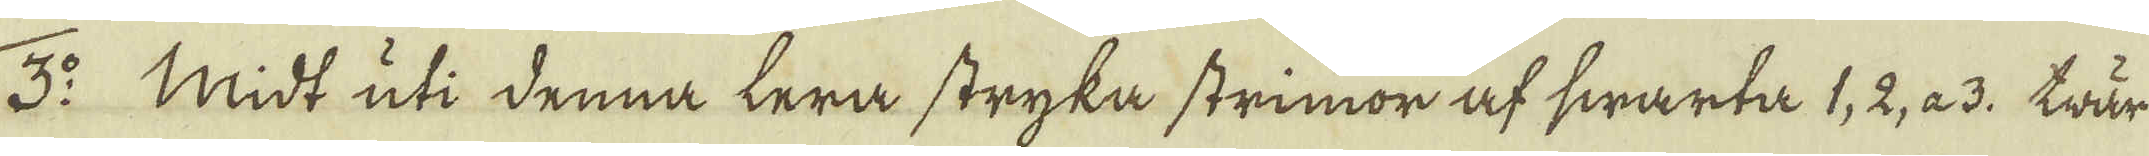3:o Midt uti denna lera stryka strimor af swarta 1, 2, a 3. trär-
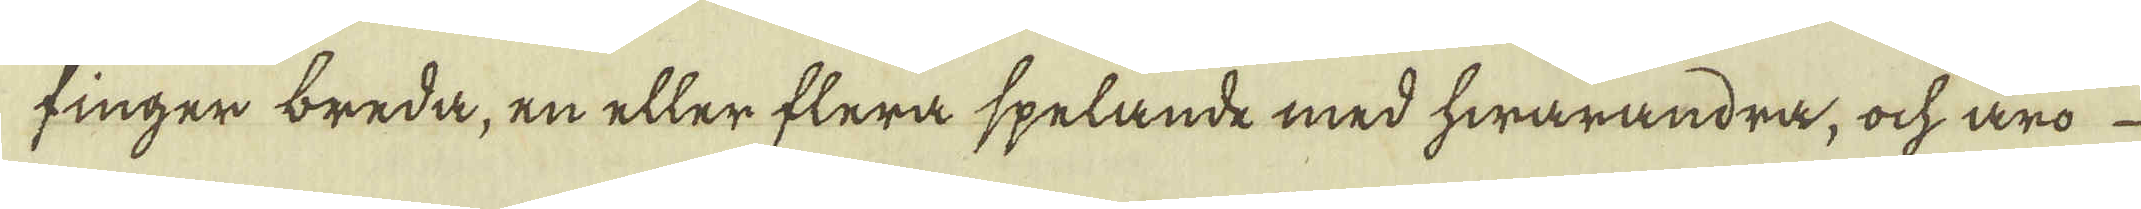finger breda, en eller flera spelande med hwarandra, och äro
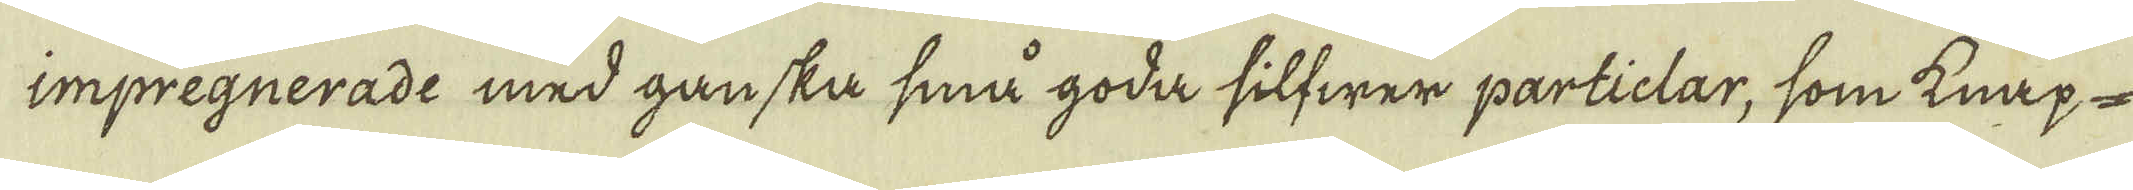impregnerade med ganska små goda silfwer particlar, som knap-
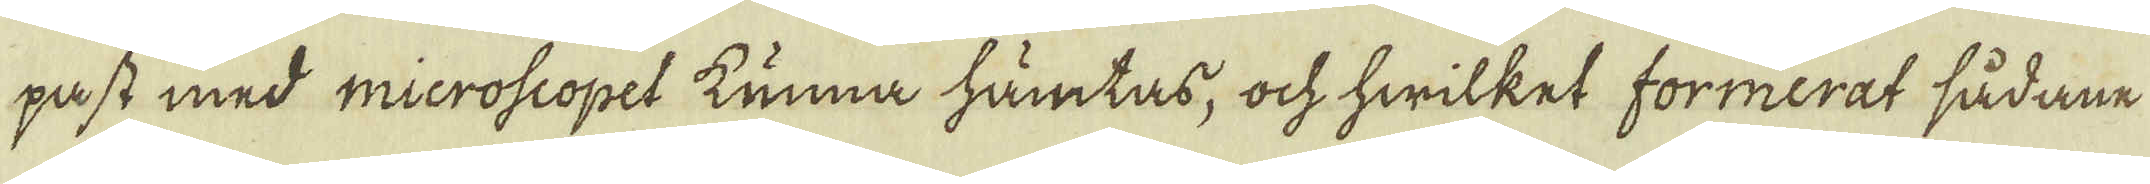past med microscopet kunna hämtas, ock hwilket formerat sådane
